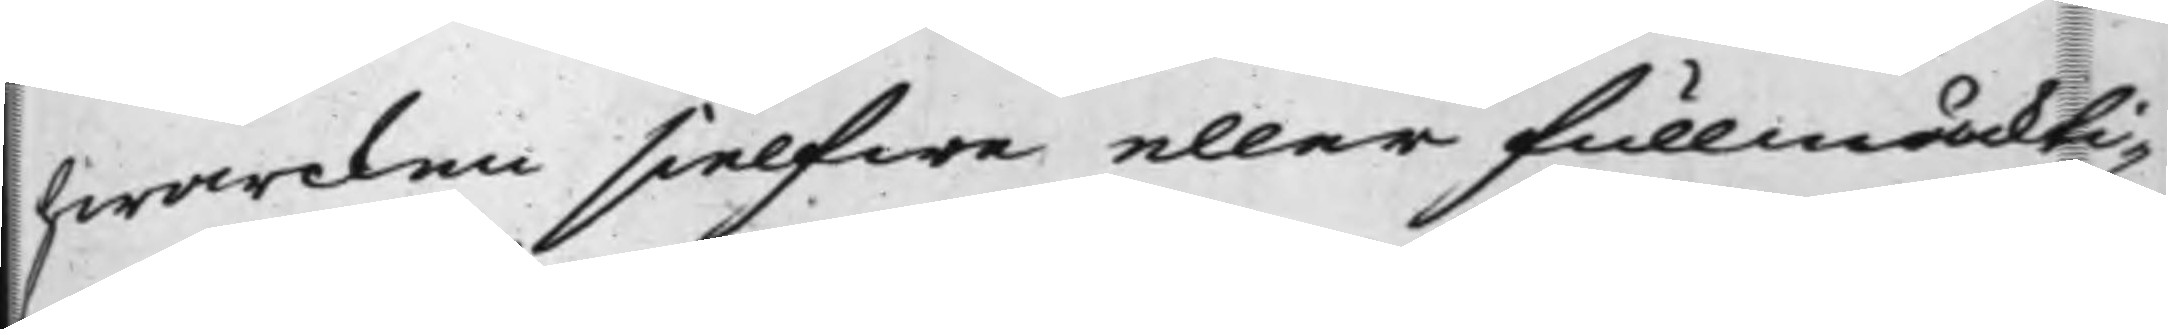hwarcken sielfwa eller fullmäckti¬
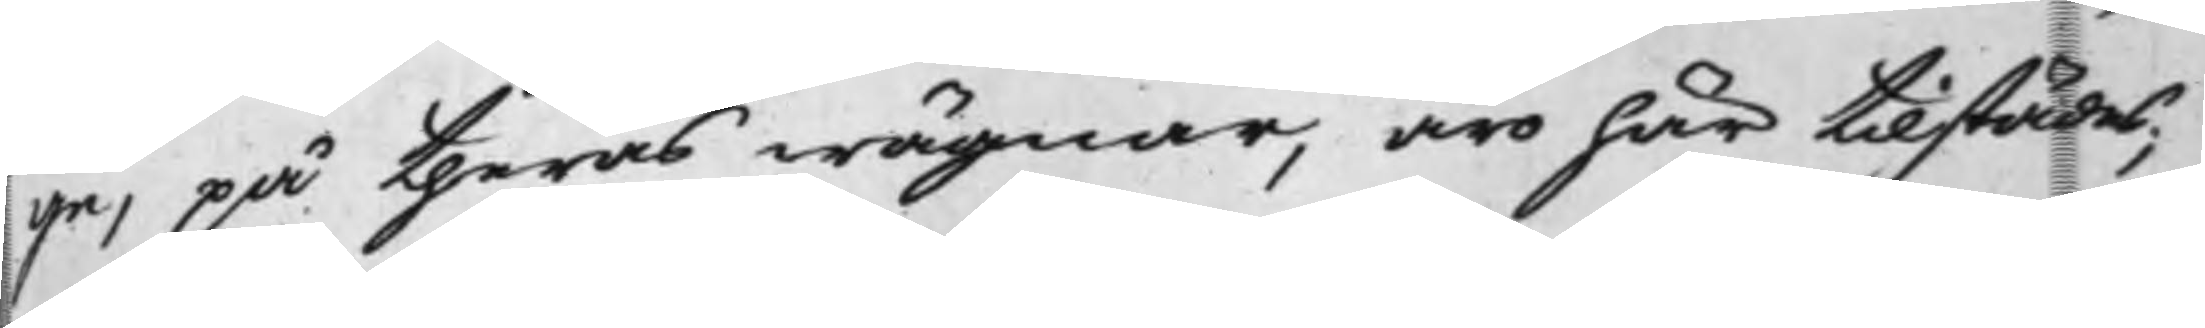ge, på theras wägnar, äro här tillstädes;
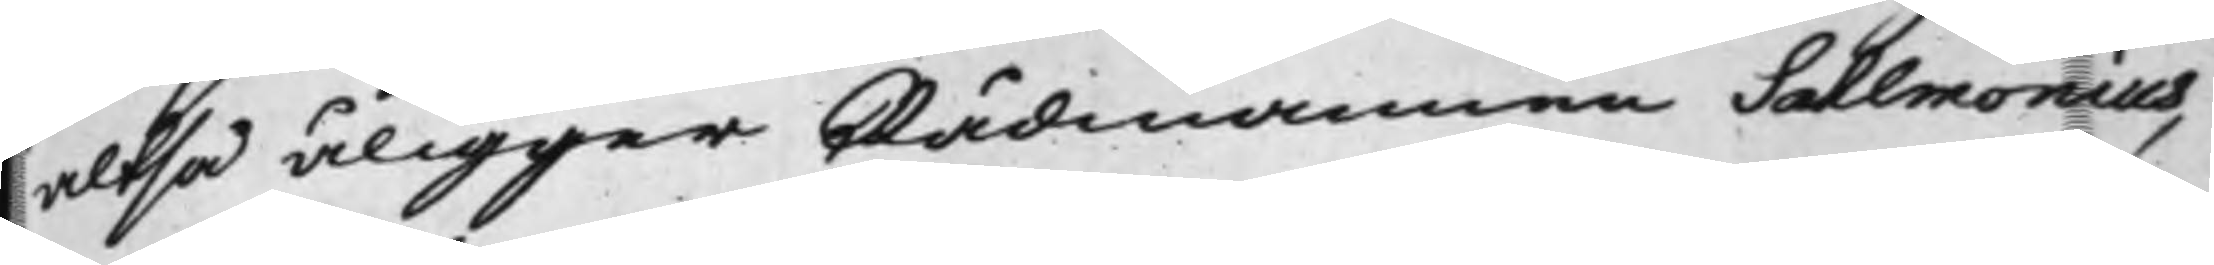altså åligger Rådmannen Sahlmonius,
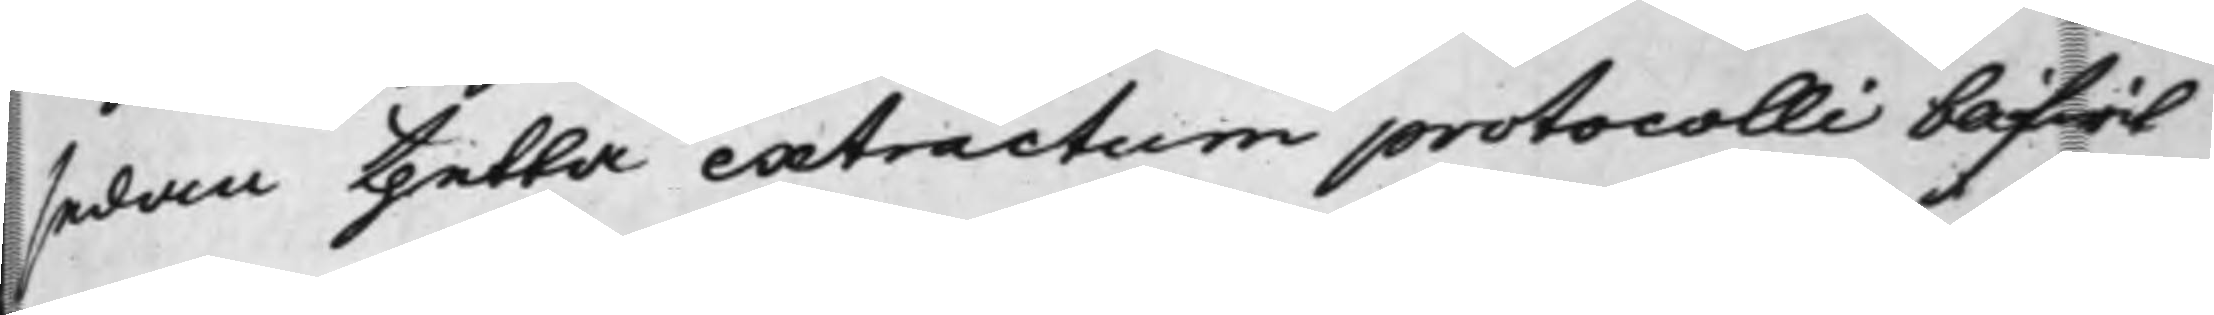sedan thetta extractum protocolli blifwit
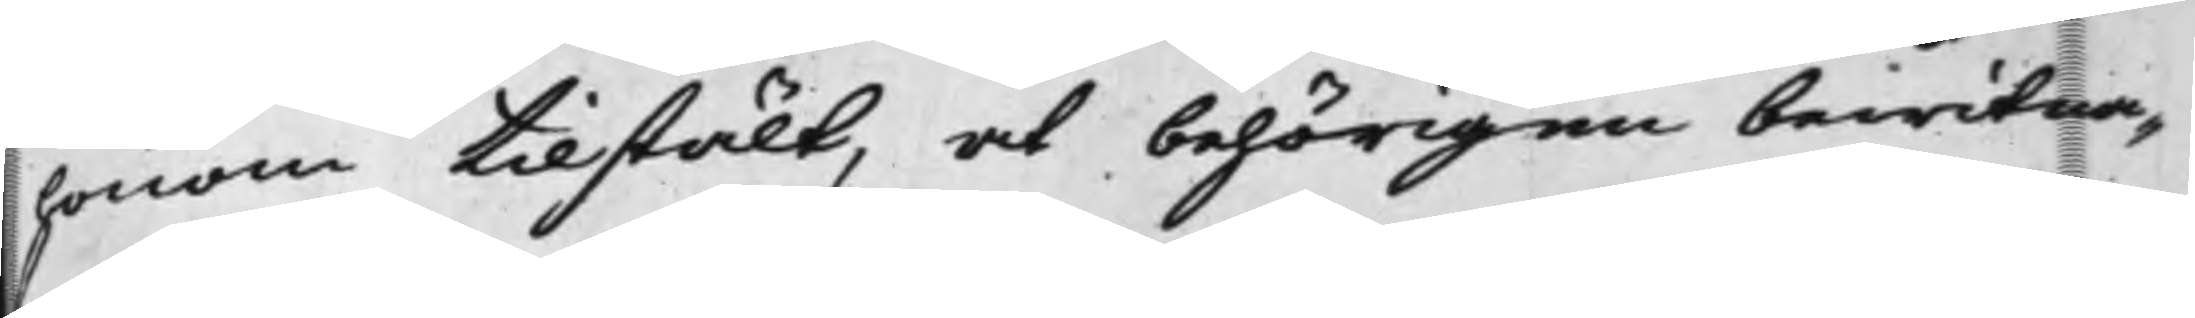honom tillstält, at behörigen bewitna¬
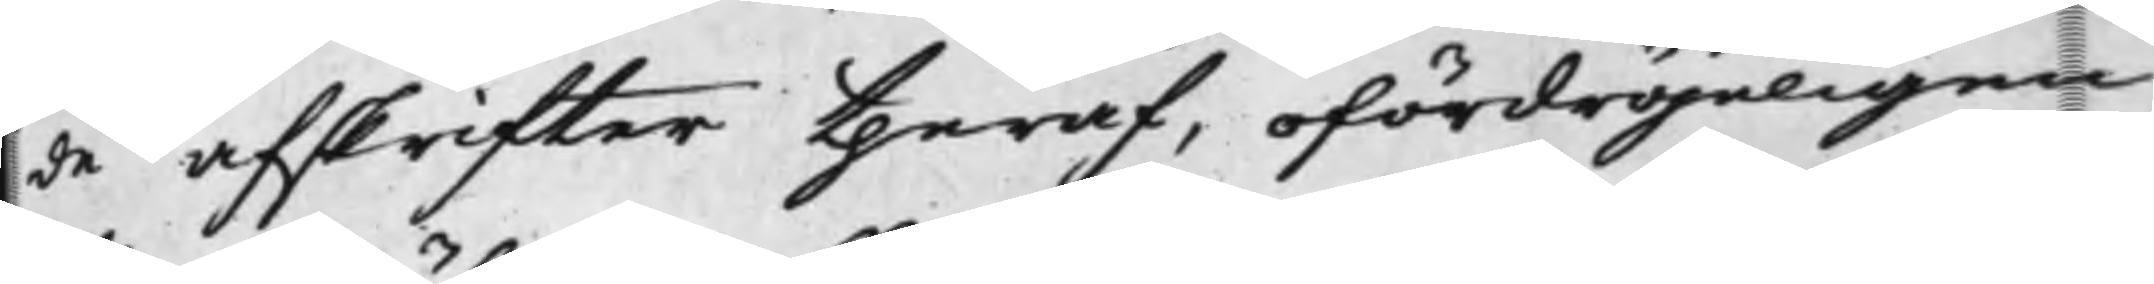de afskrifter theraf, ofördröjeligen
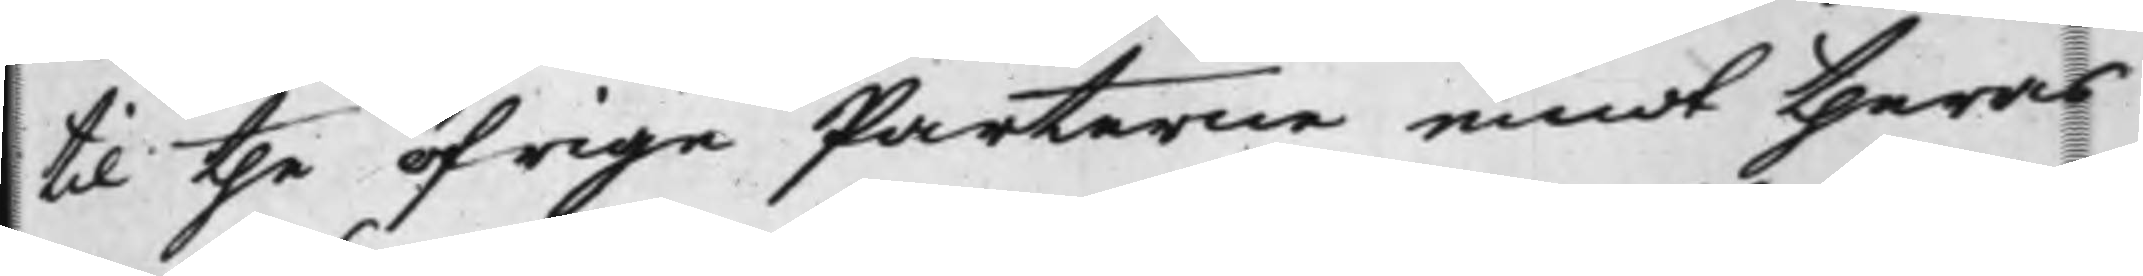til the öfrige Parterne emot theras
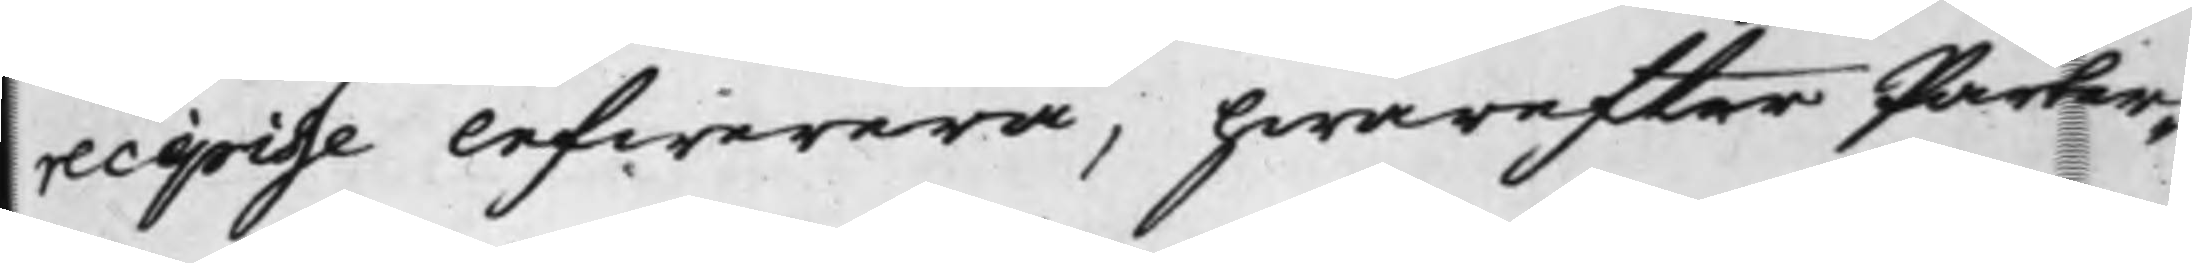recipisse lefwerera, hwarefter Parter¬
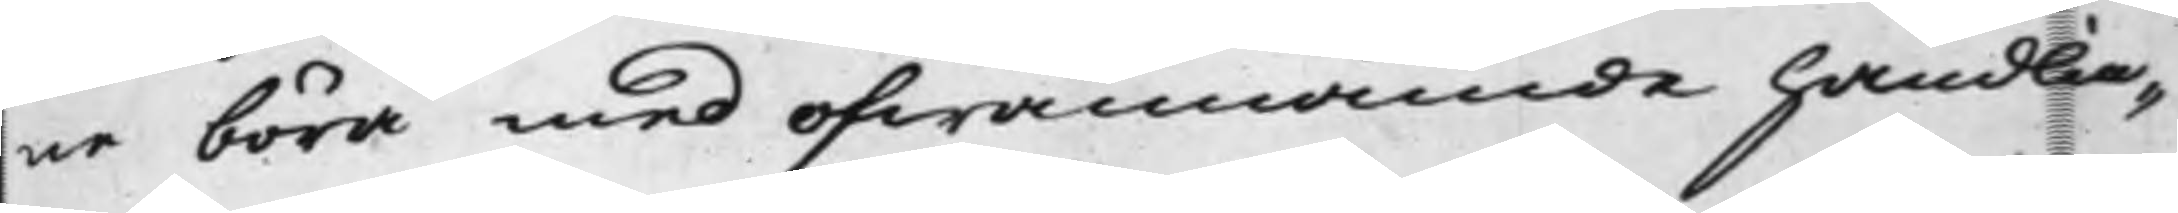ne böra med ofwannämde handlin¬
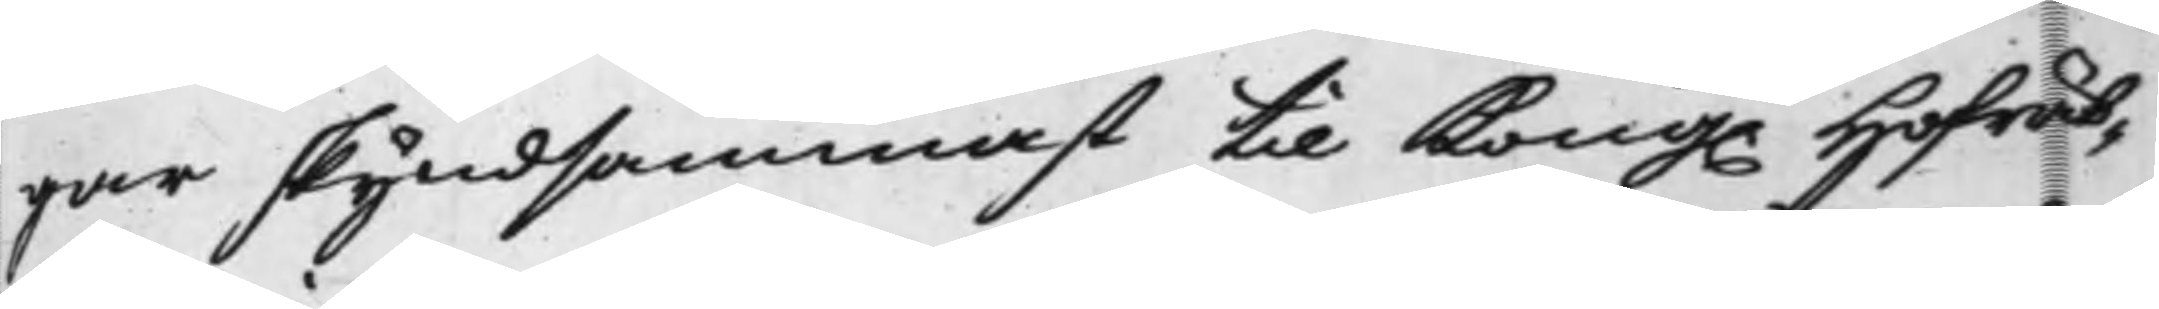gar skyndsammast til Kong. Hofrät¬
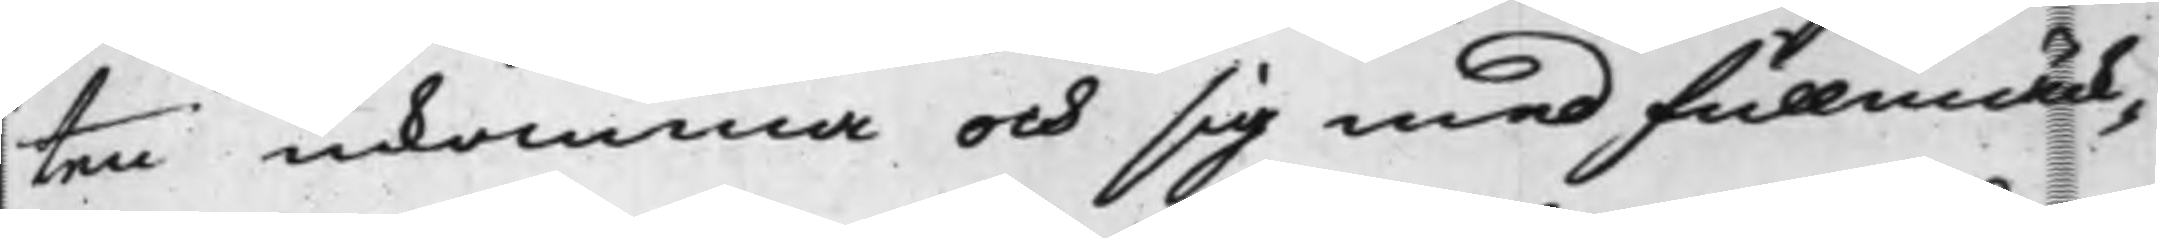ten inkomma och sig med fullmäck¬
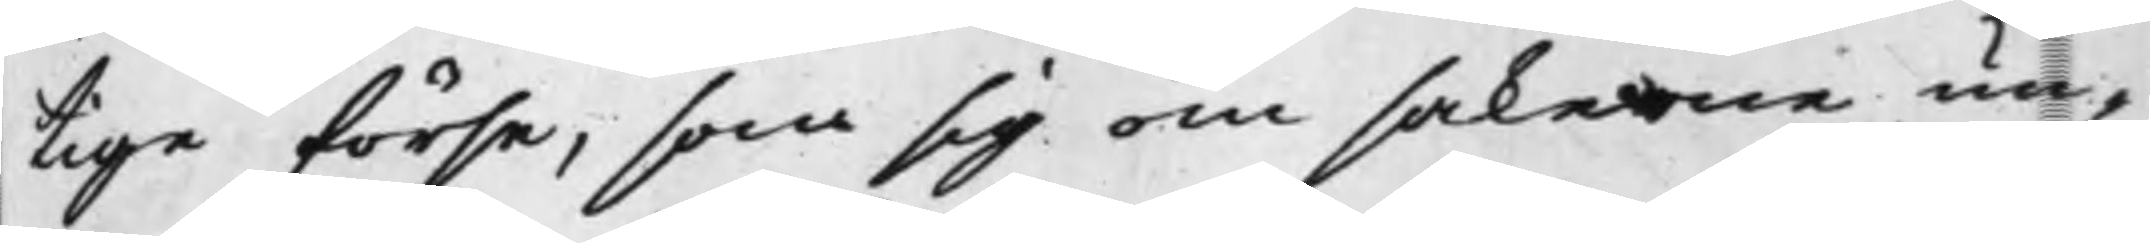tige förse, som sig om sakerne un¬
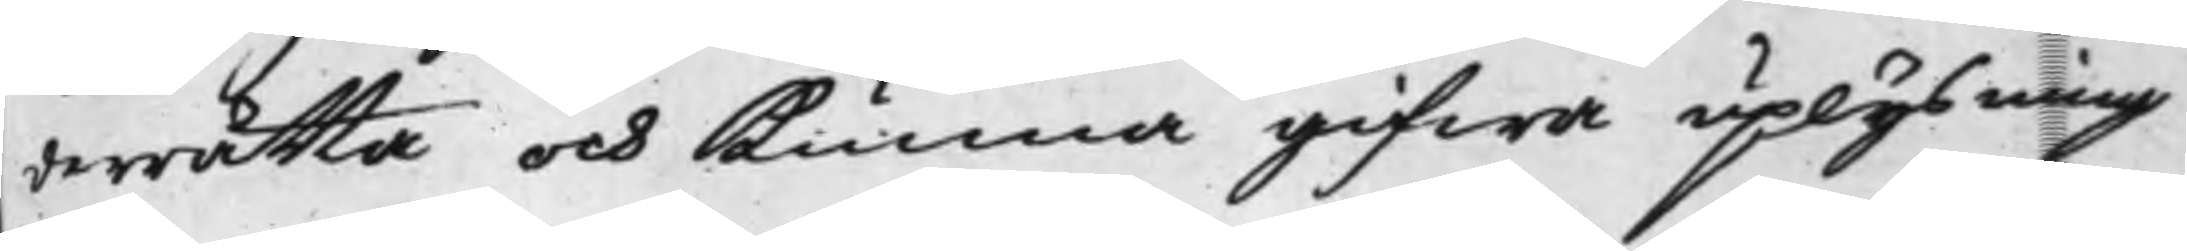derrätta och kunna gifwa uplysning
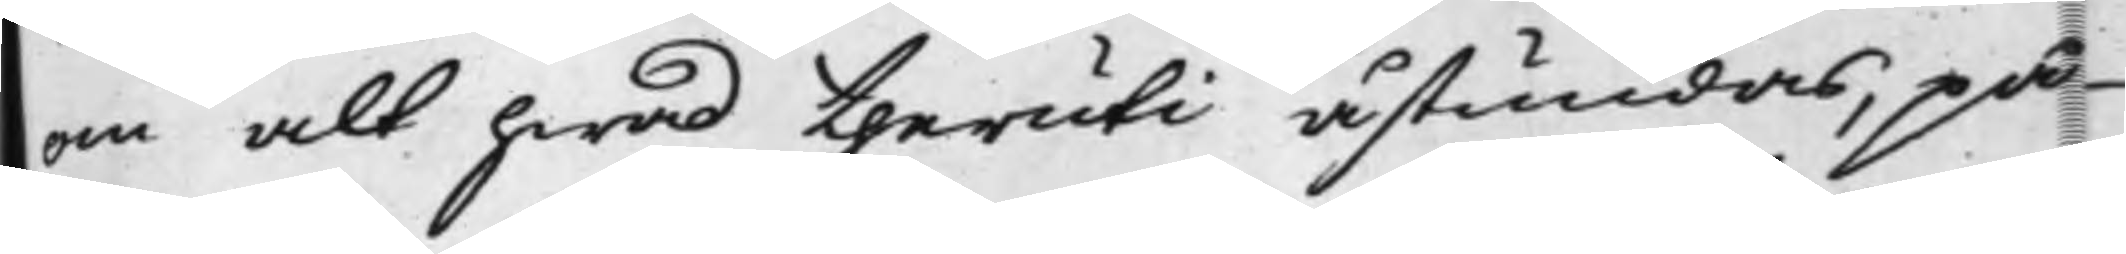om alt hwad theruti åstundas, på
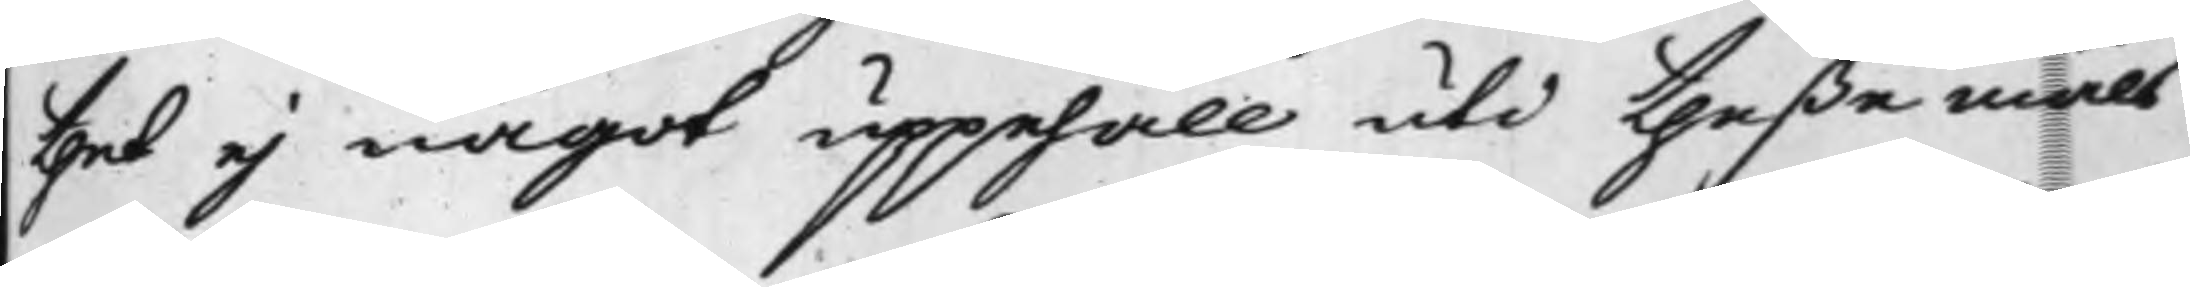thet ej något uppehåll uti theße måls
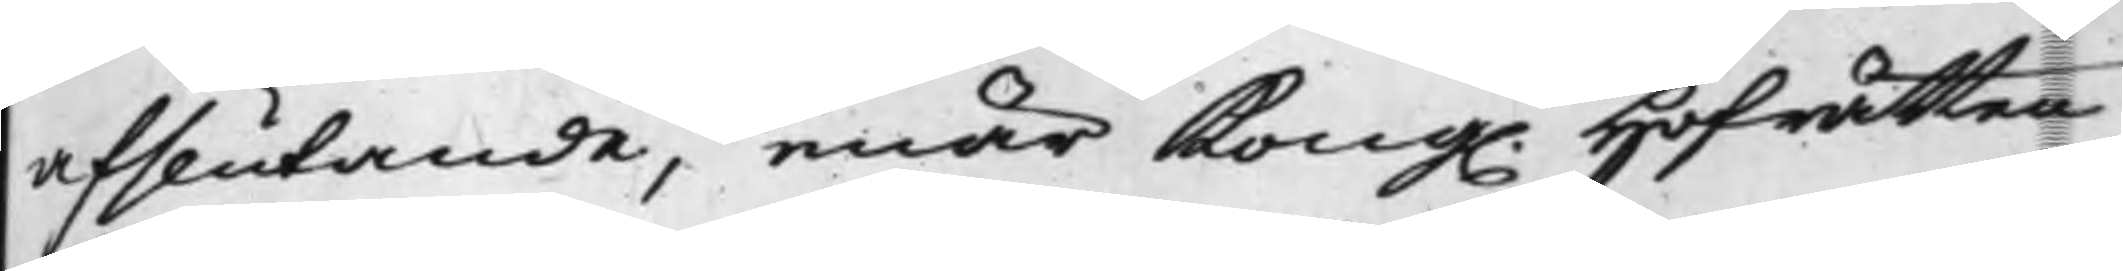afslutande, enär Kong. Hofrätten
